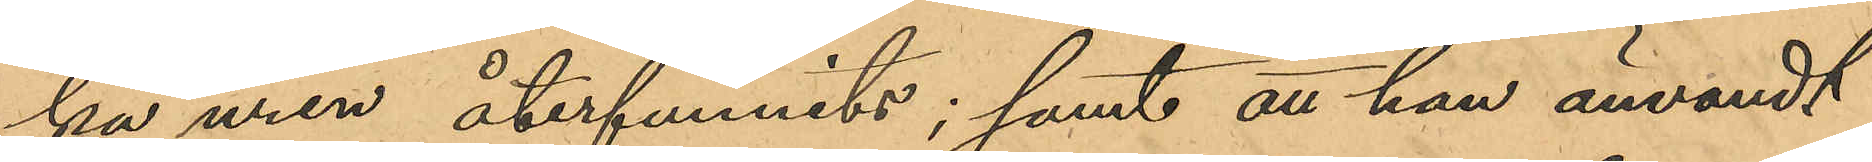ka uren återfunnits; samt att han användt
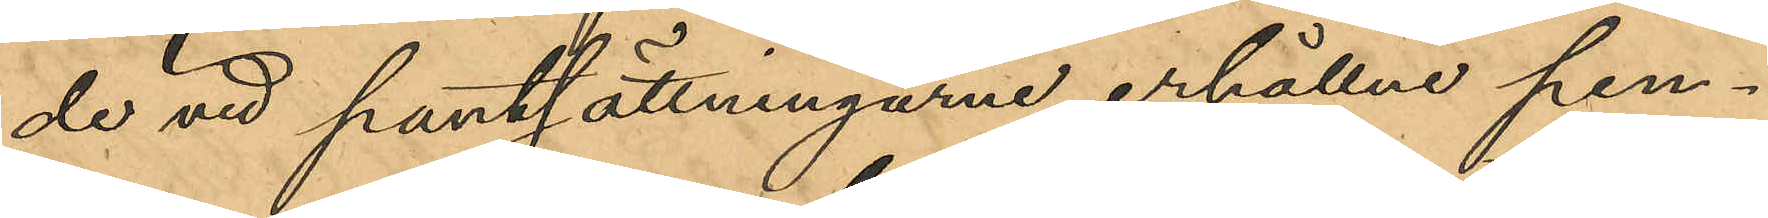de vid pantsättningarne erhållne pen¬
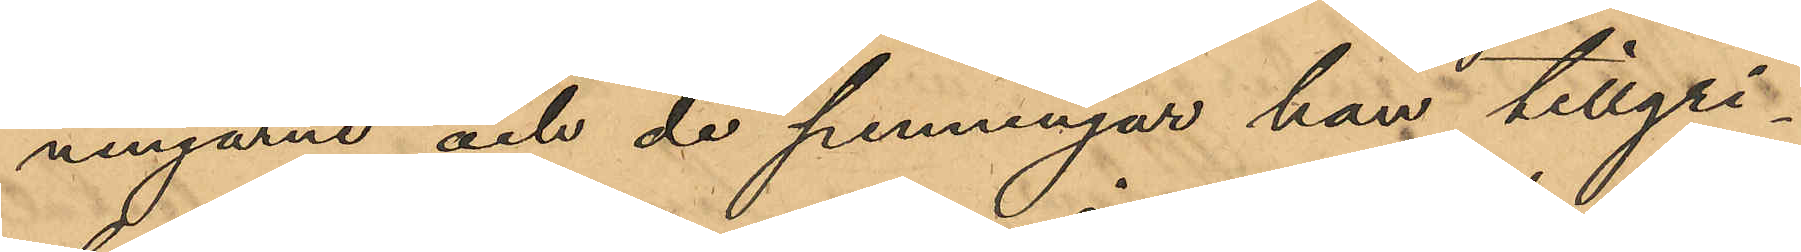ningarne och de penningar han tillgri¬
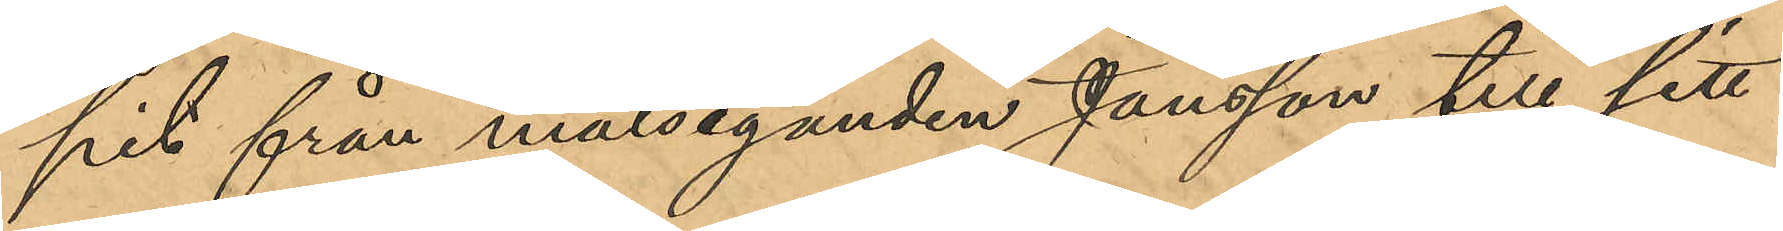pit från målseganden Jansson till sitt
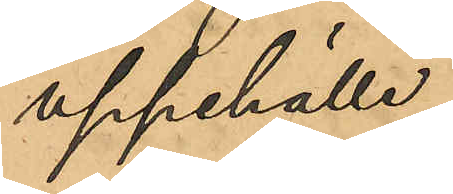uppehälle.
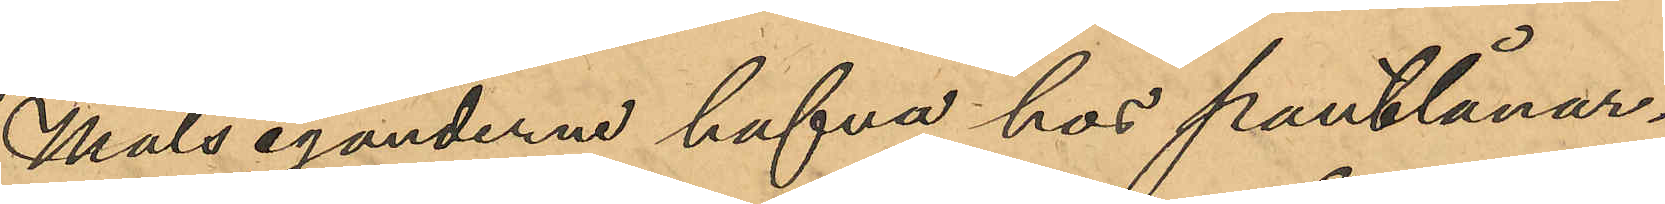Målseganderne hafva hos pantlånar¬
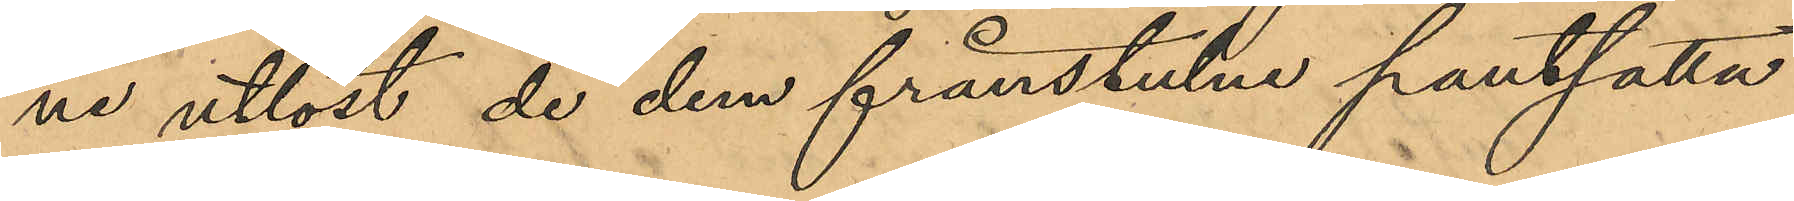ne utlöst de dem frånstulne pantsatta
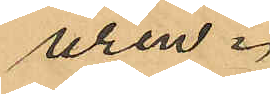uren.
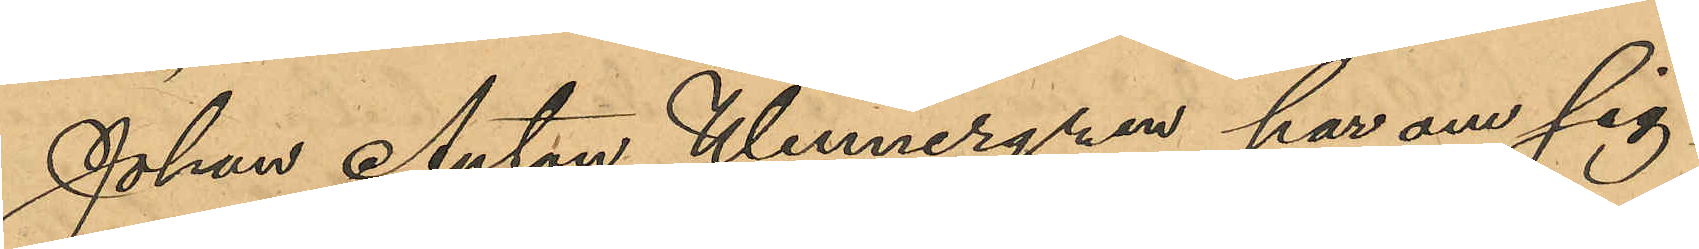Johan Anton Wennergren har om sig
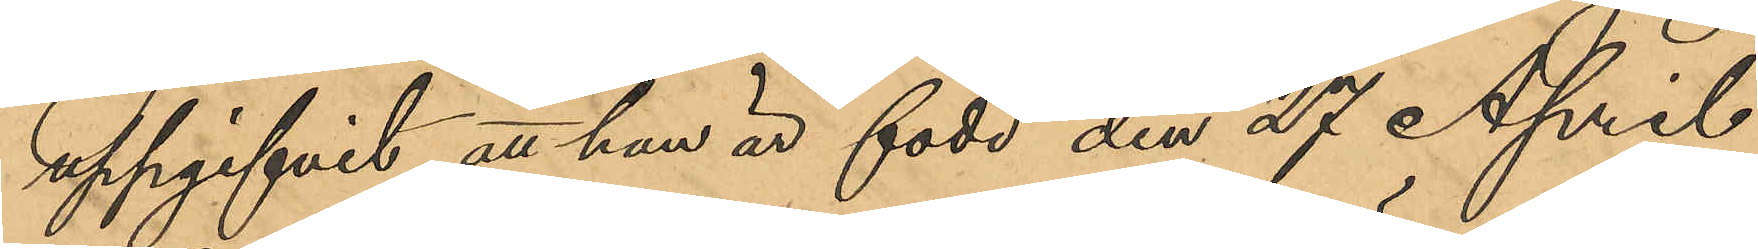uppgifvit att han är född den 27 April
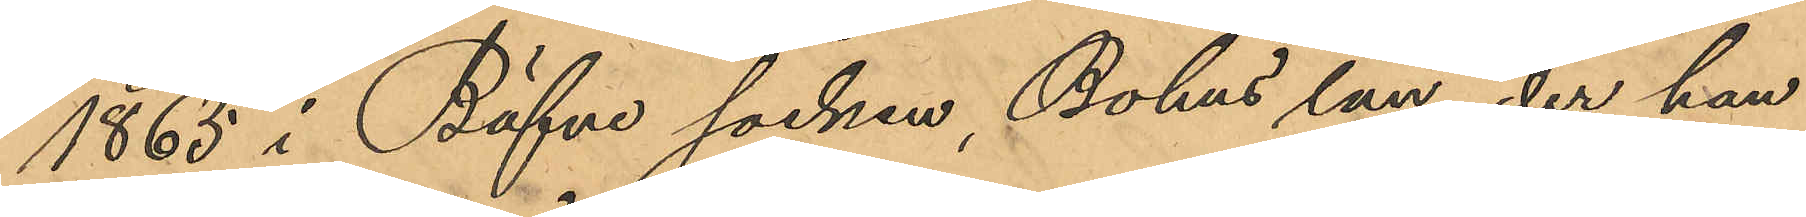1865 i Bäfne socken, Bohus län, der han
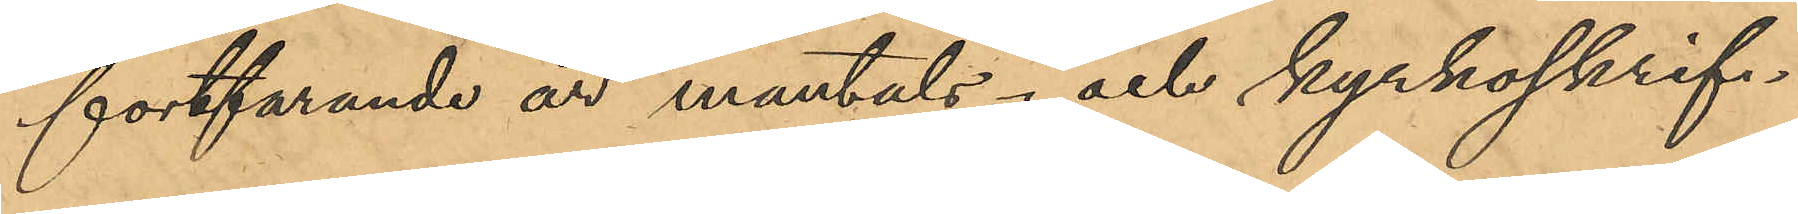fortfarande är mantals- och kyrkoskrif¬
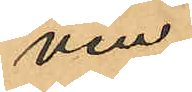ven.
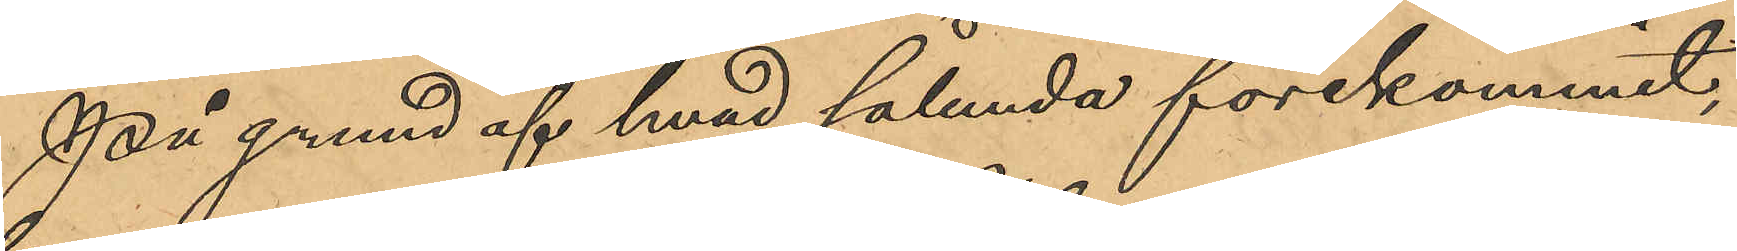På grund af hvad sålunda förekommit,
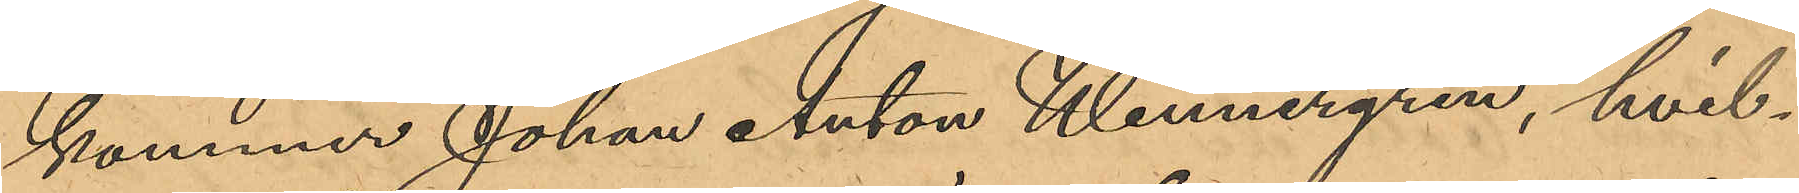kommer Johan Anton Wennergren, hvil¬
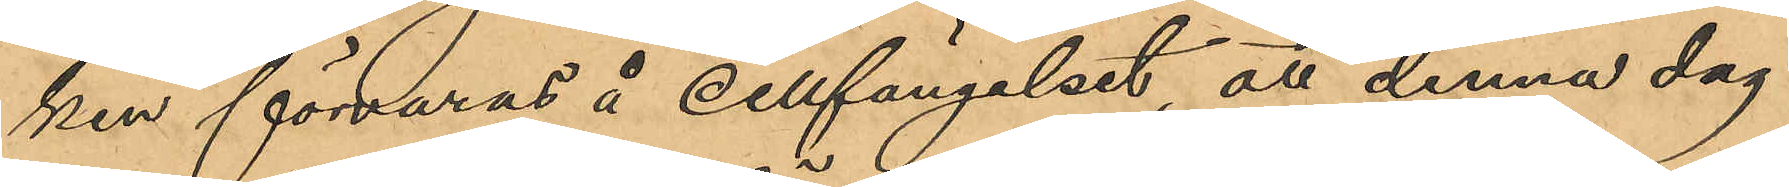ken förvaras å cellfängelset, att denna dag
